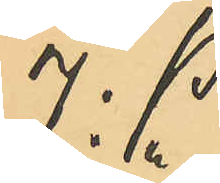J. P.
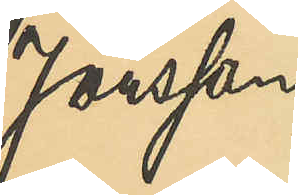Jönsson
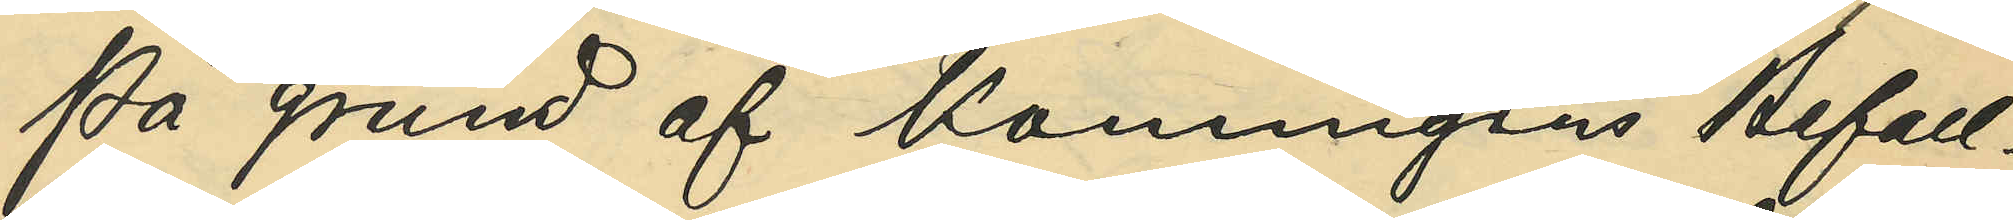På grund af Konungens Befall¬
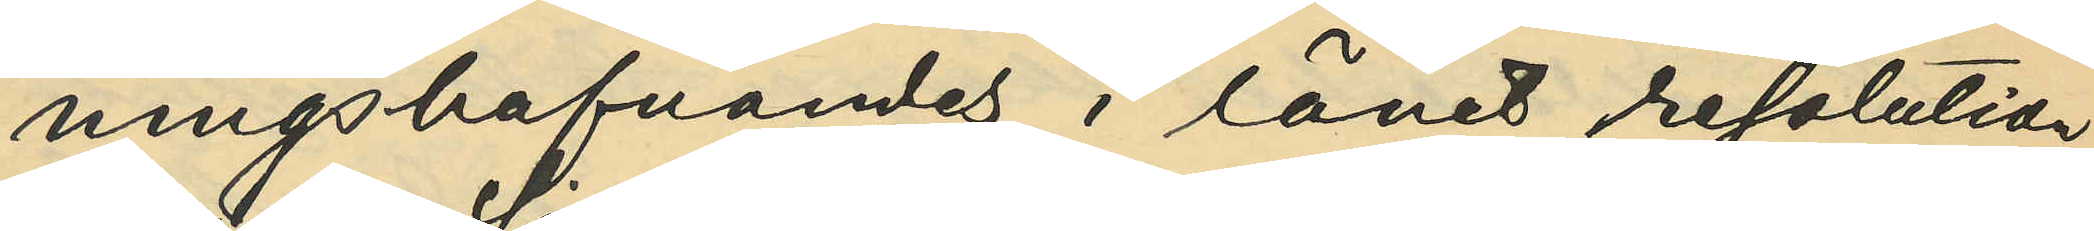ningshafvandes i länet resolution
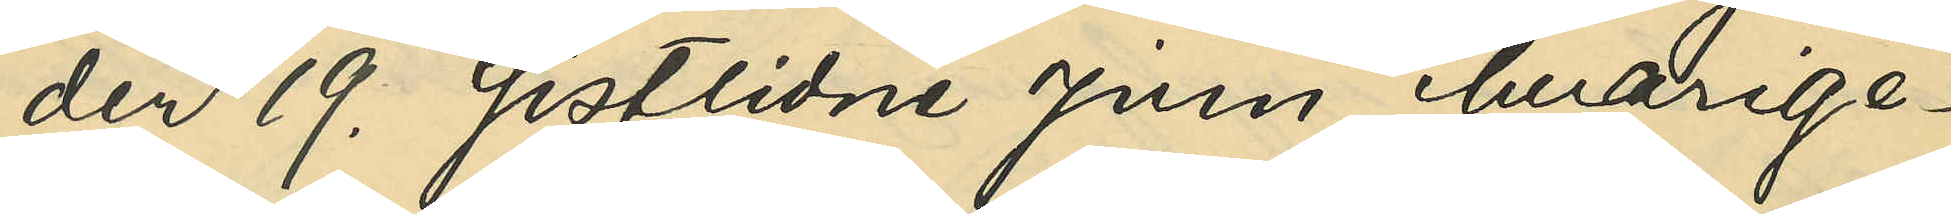den 19. sistlidne Juni, hvarige¬
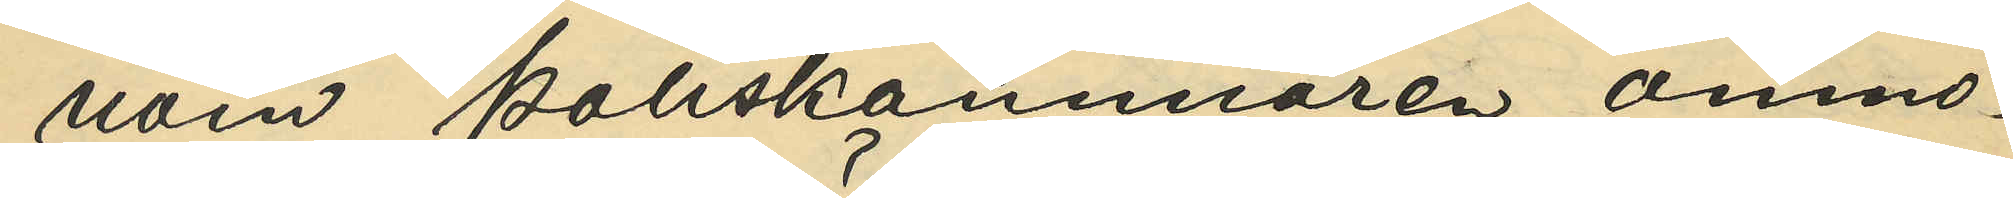nom Poliskammaren anmo¬
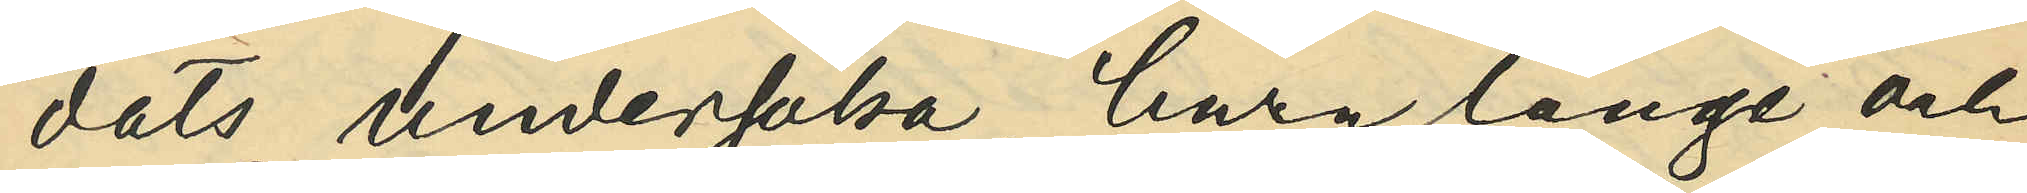dats undersöka, huru länge och
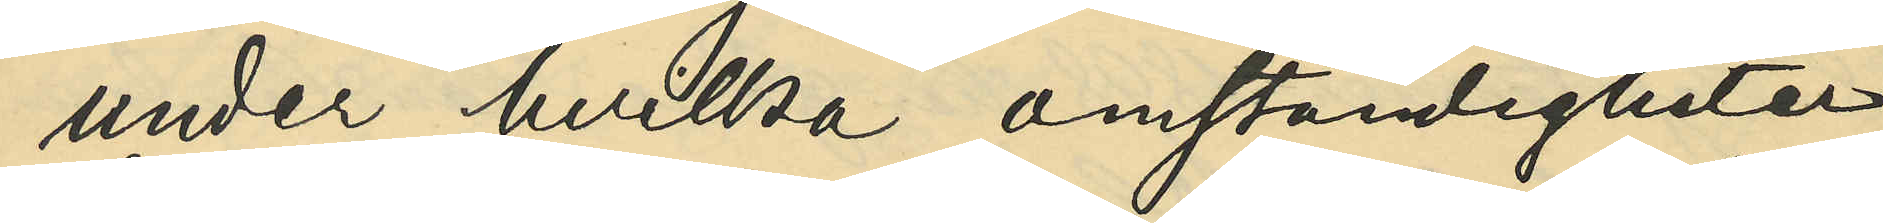under hvilka omständigheter
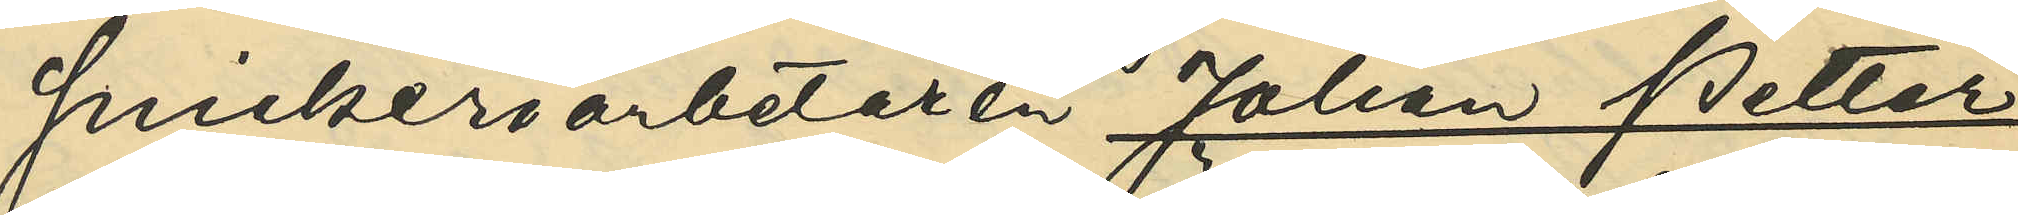snickeriarbetaren Johan Petter
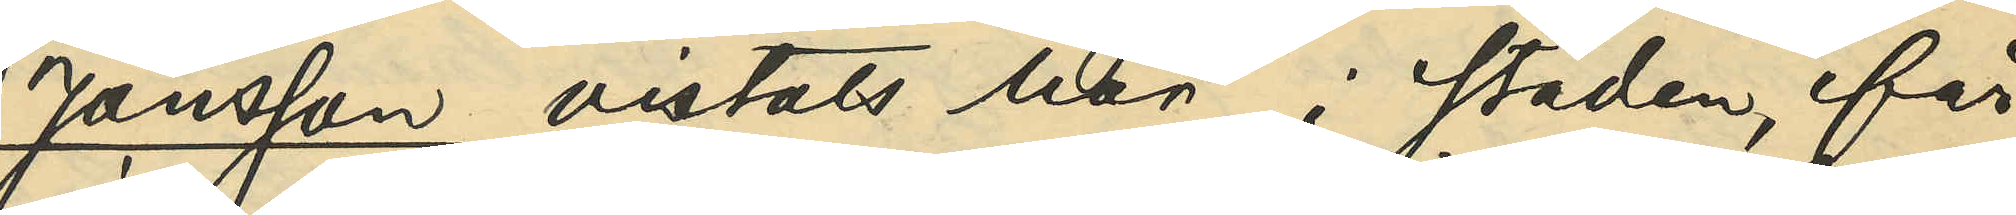Jönsson vistats här i staden, får
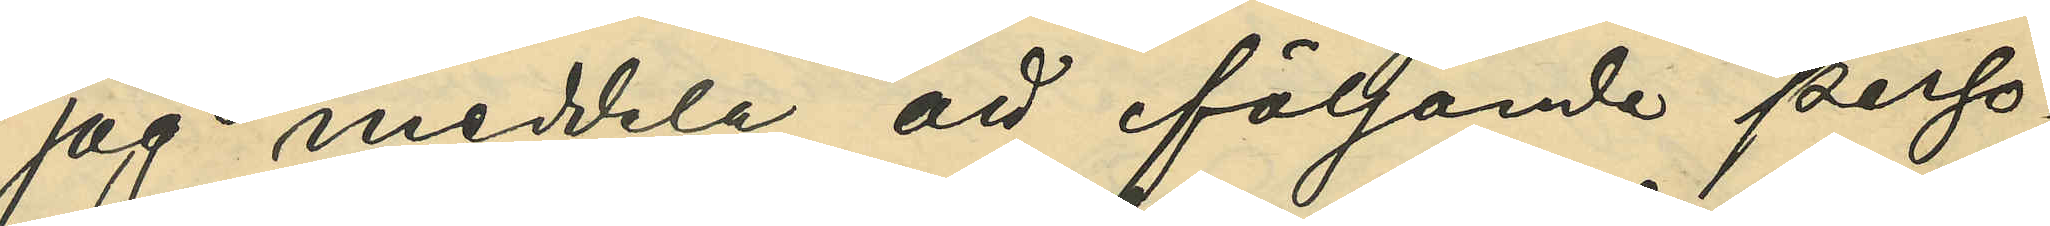jag meddela, att följande perso¬
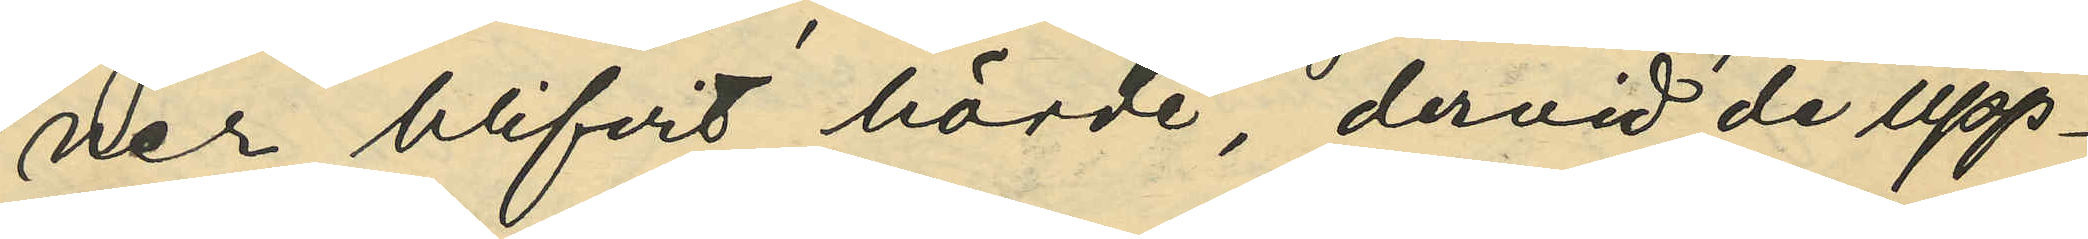ner blifvit hörde, dervid de upp¬
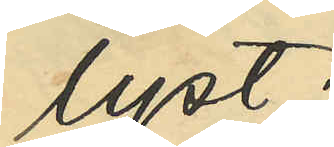lyst:
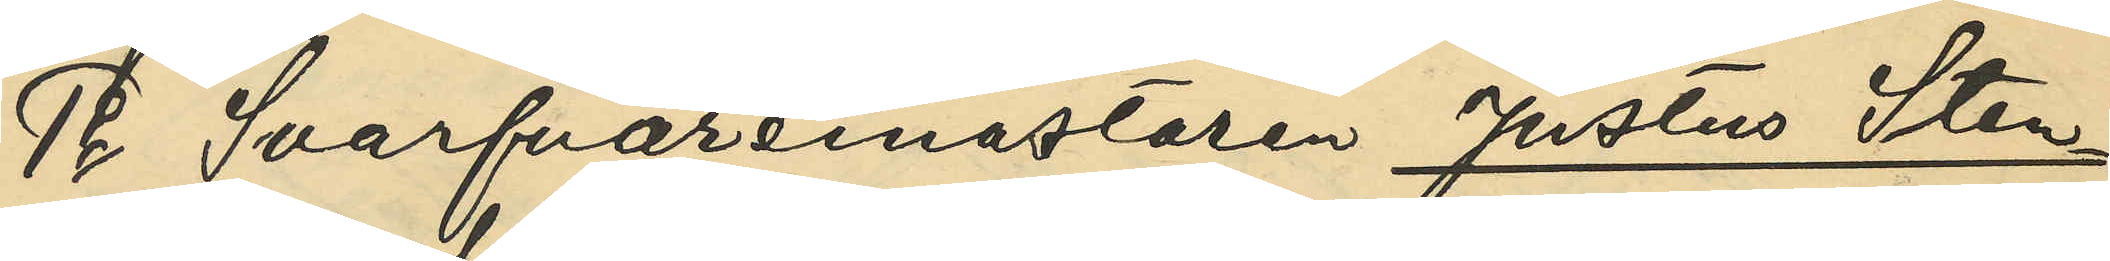1o Svarfvaremästaren Justus Sten¬
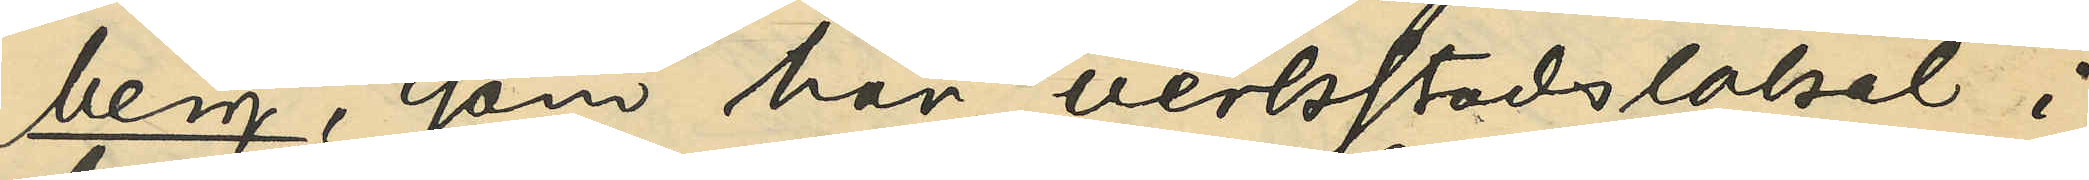berg, som har verkstadslokal i
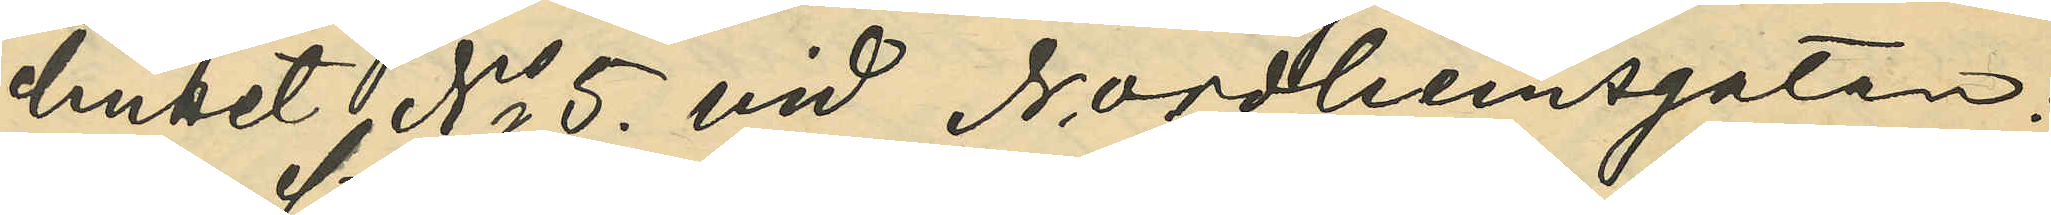huset No 5 vid Nordhemsgatan:
